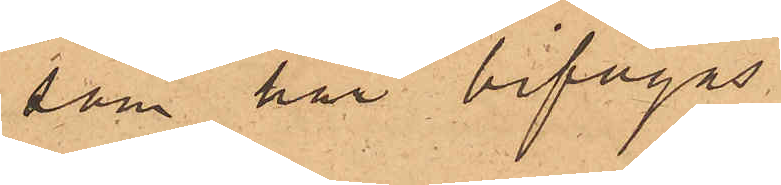som här bifogas
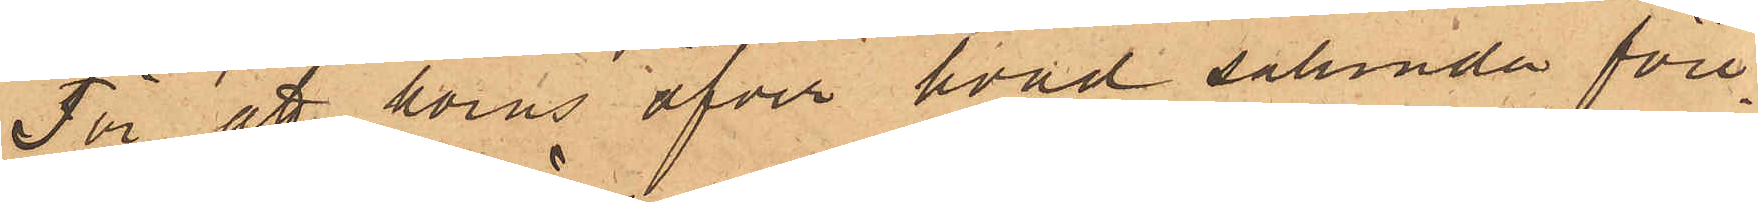För att höras öfver hvad sålunda före¬
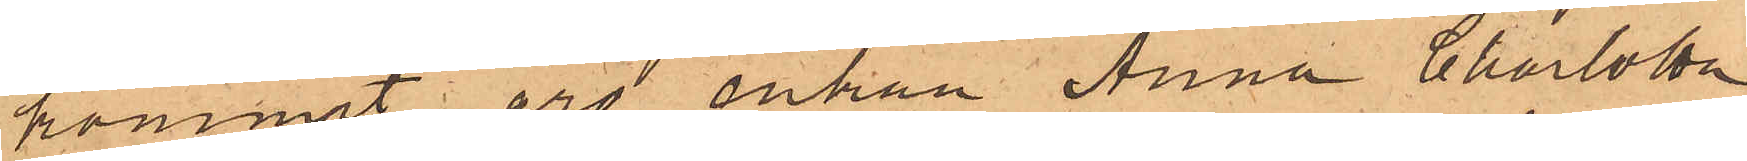kommit, äro enkan Anna Charlotta
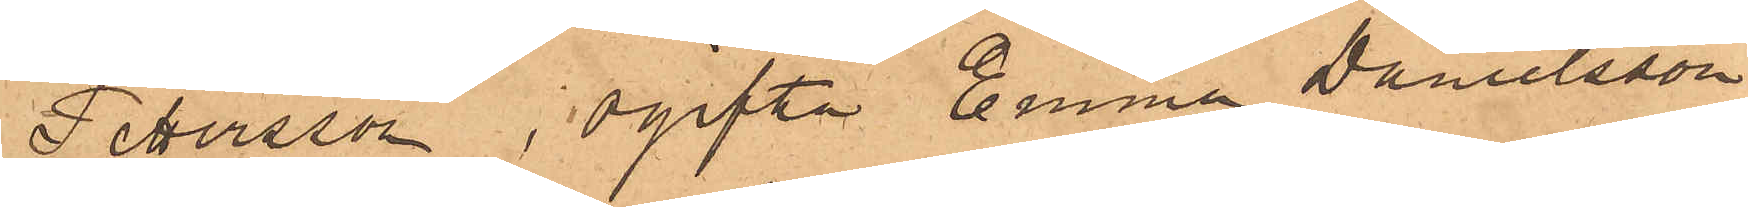Pettersson, ogifta Emma Danielsson,
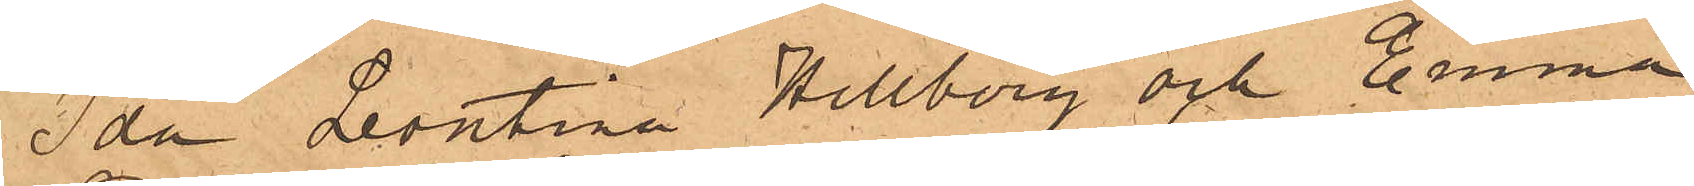Ida Leontina Hellberg och Emma
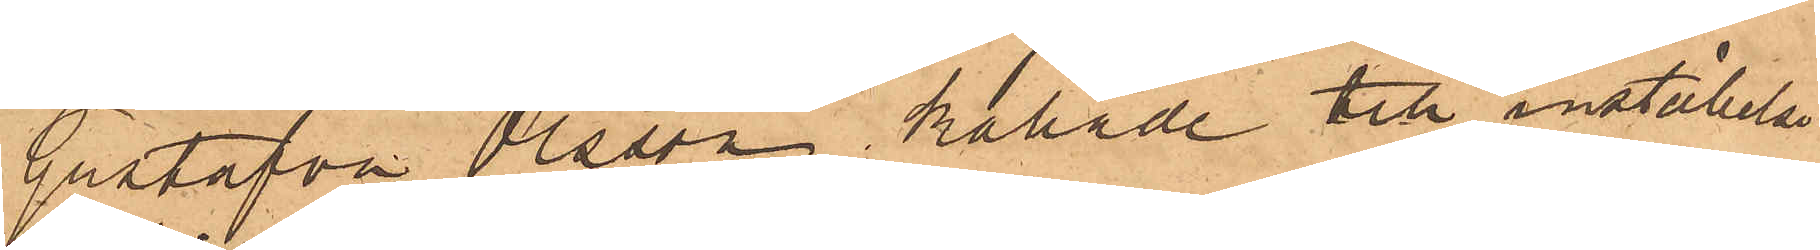Gustafva Olsson kallade till inställelse
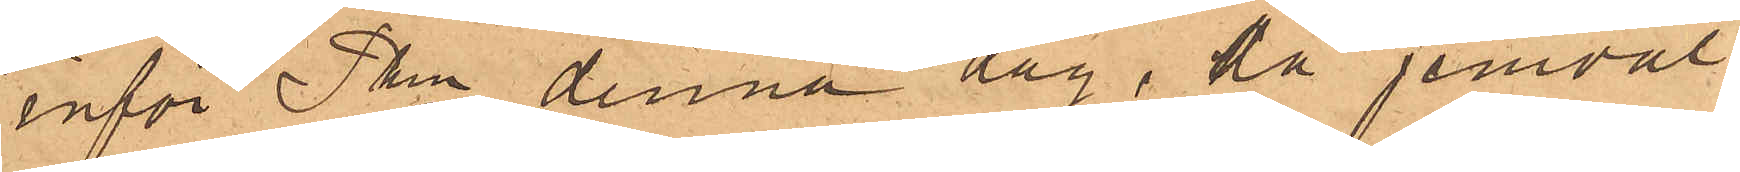inför Pkn denna dag, då jemväl
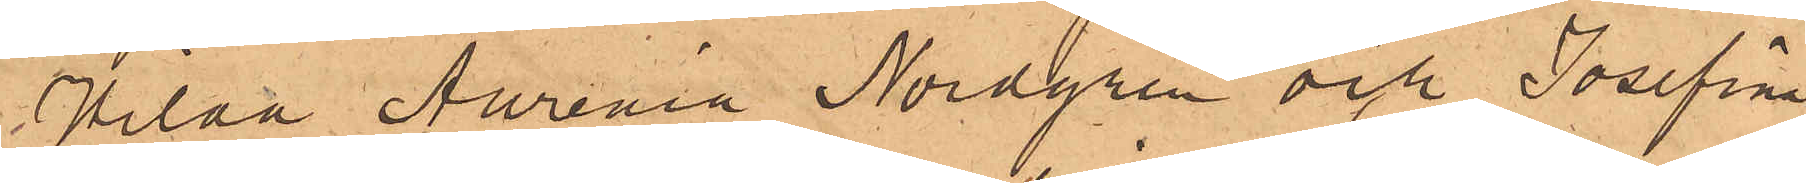Hilaa Aurenia Nordgren och Josefina
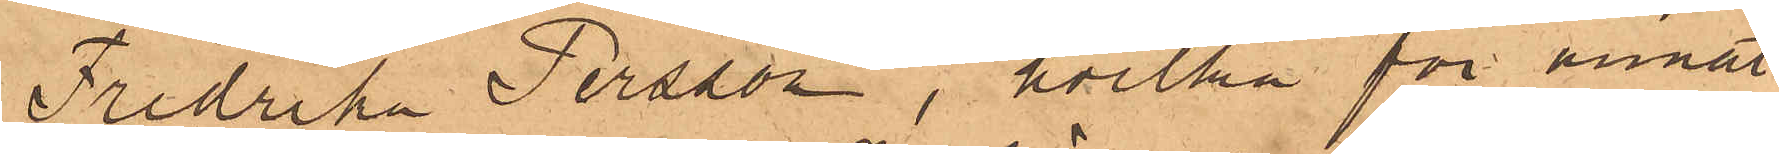Fredrika Persson, hvilka för annat
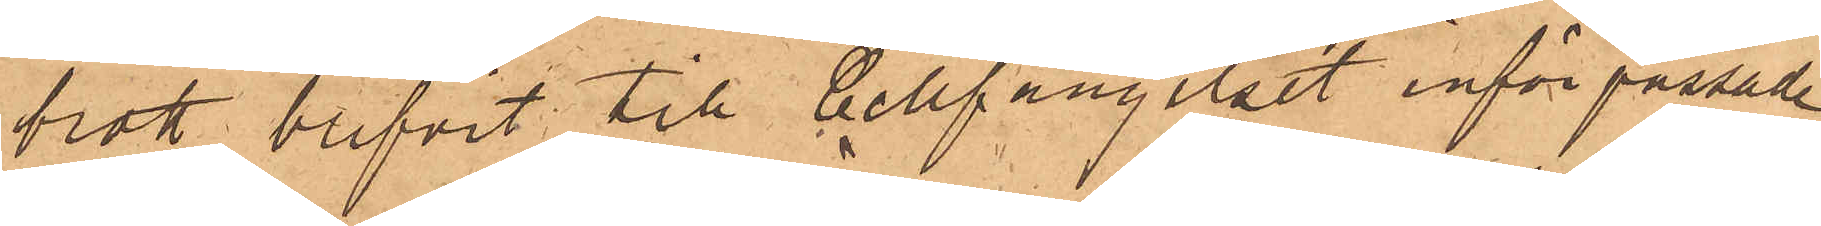brott blifvit till Cellfängelset införpassade
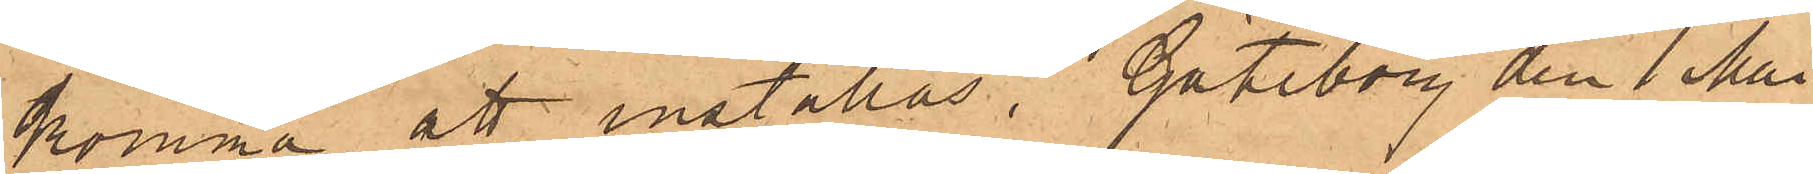komma att inställas. Göteborg den 1 Maj
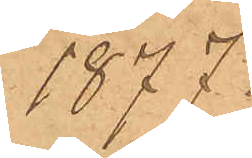1877.
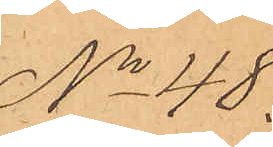No 48
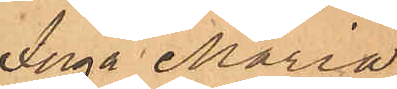Inga Maria
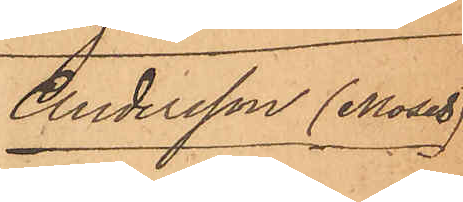Andersson (Moses)
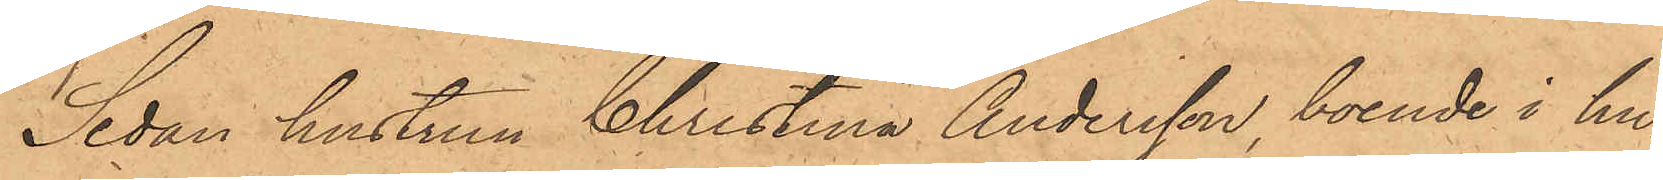Sedan hustrun Christina Andersson, boende i hu¬
